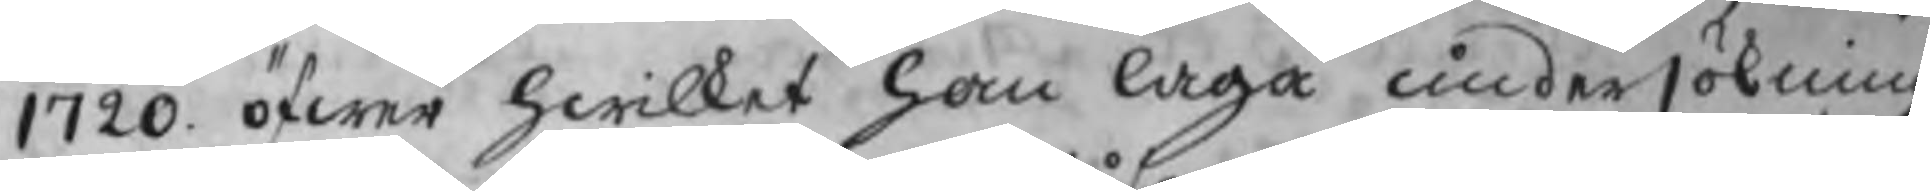1720. öfwer hwilket han laga undersökning
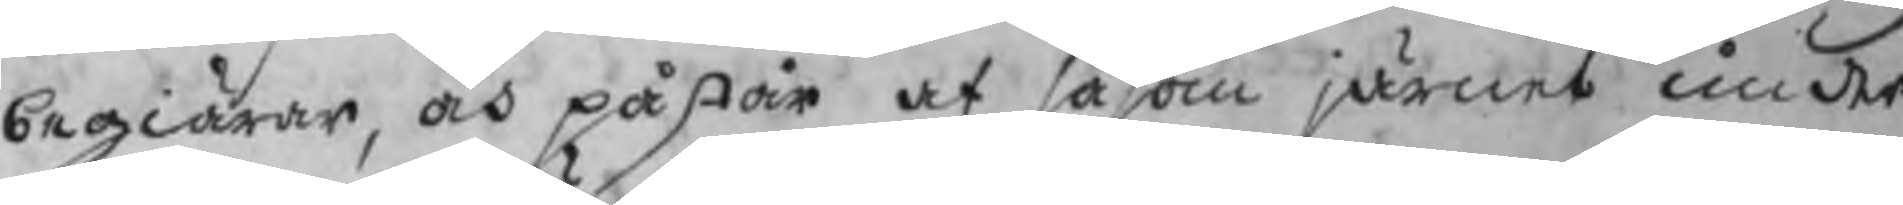begiärer, och påstår at såsom järnet under
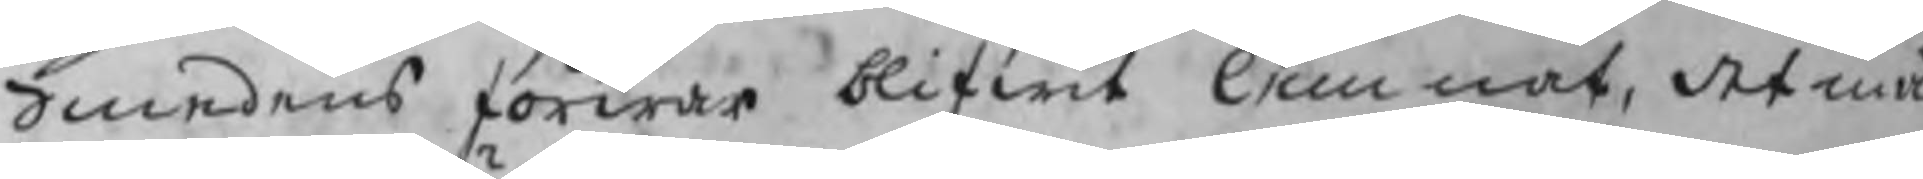Smedens förwar blifwit lemnat, det må
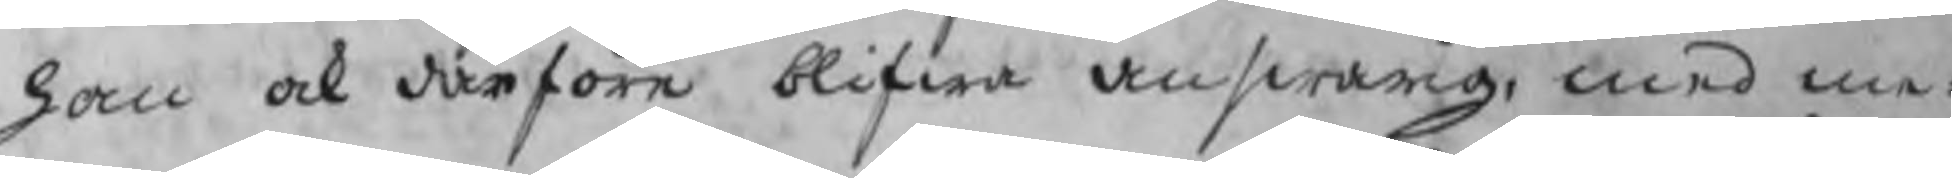han ock därföre blifwa answarig, med me¬
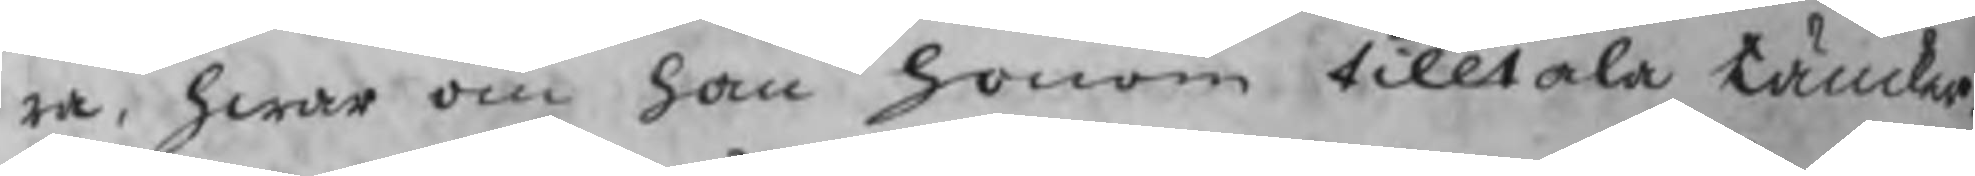ra, hwar om han honom tilltala tänker,
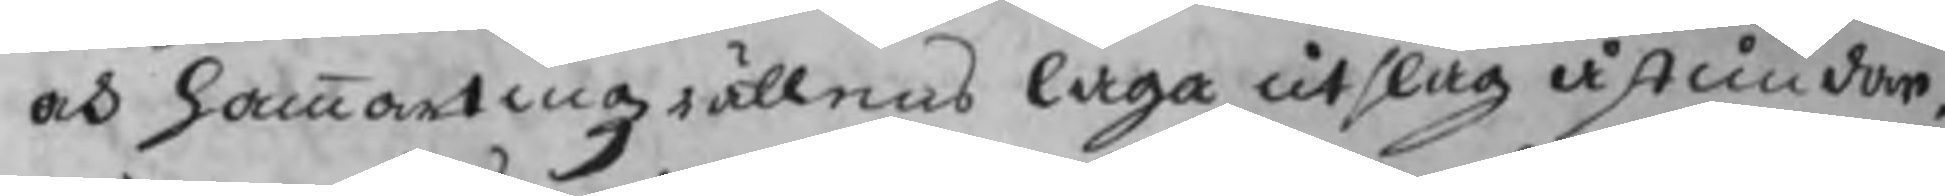och hammartingzrättens laga utslag åstundar.
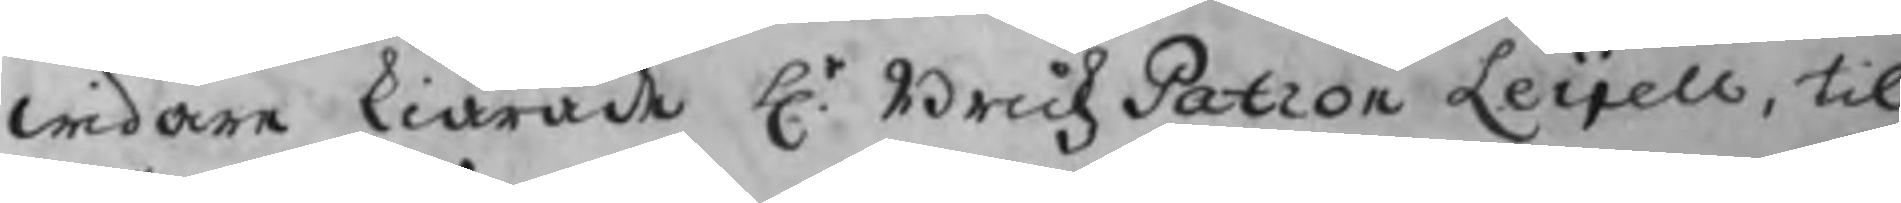widare kiärade Hr. BrukzPatron Leijell, til
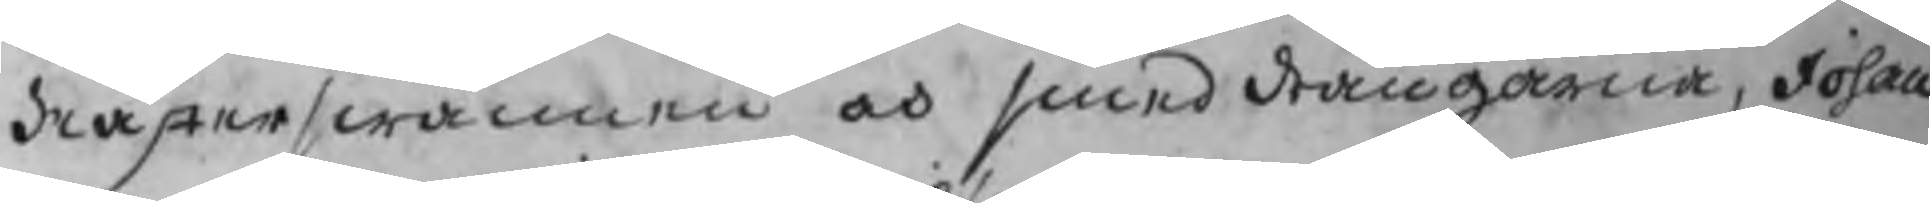Mästerswännen och smeddrängarna, Johan
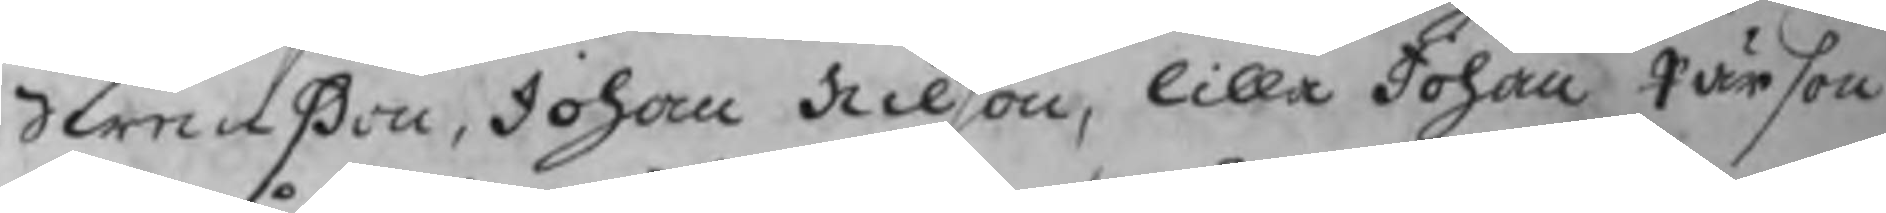Swenßon, Johan Nilson, lilla Johan Pärson
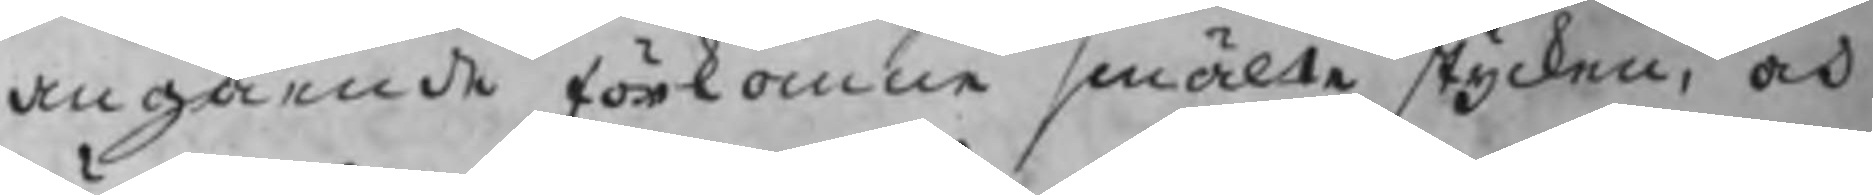angående förkomne smälte stycken, och
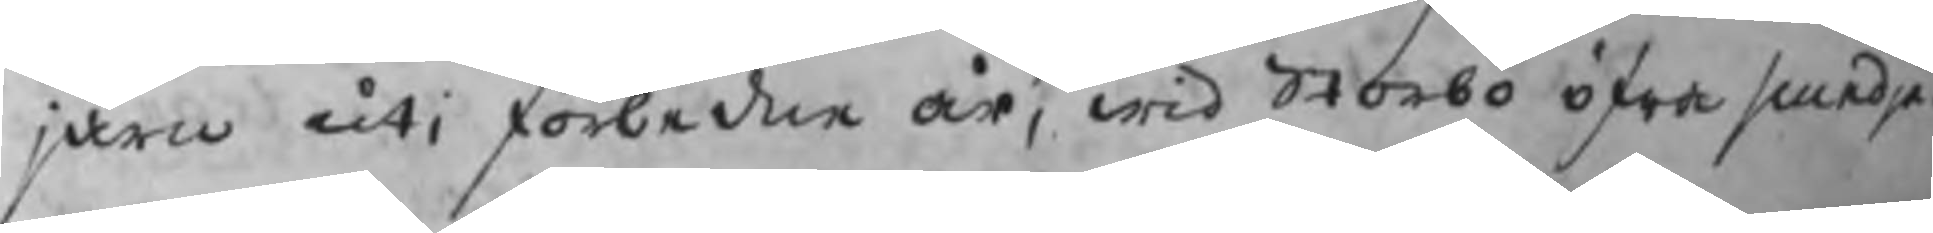järn uti förledne år, wid Storbo öfra smedja.
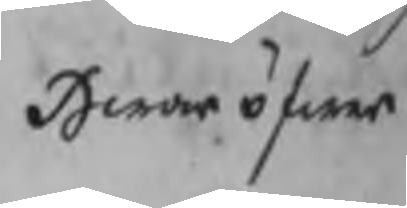Hwaröfwer
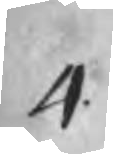4
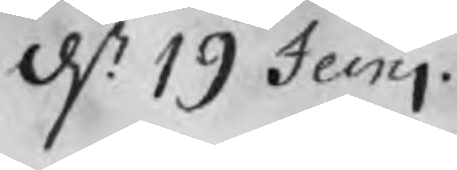d. 19 Junj
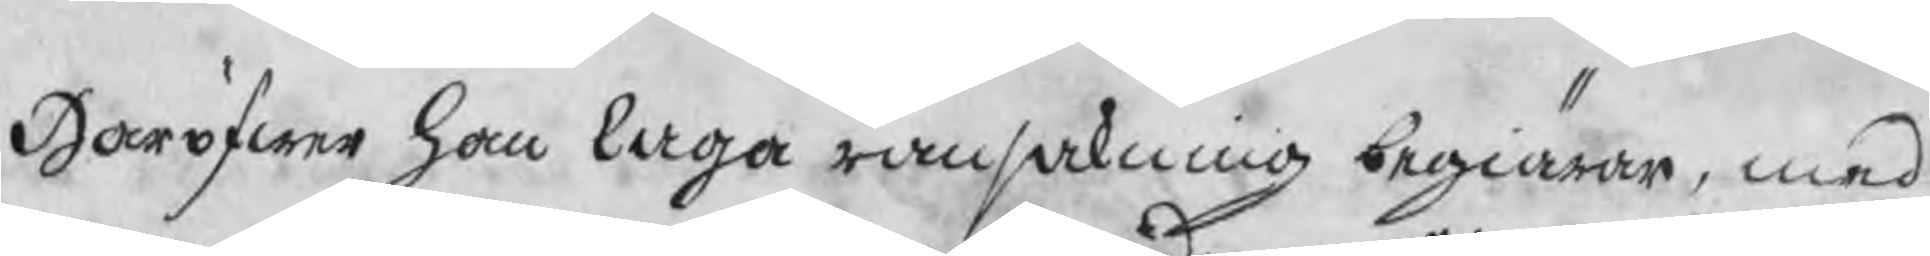Haröfwer han laga ransakning begiärer, med
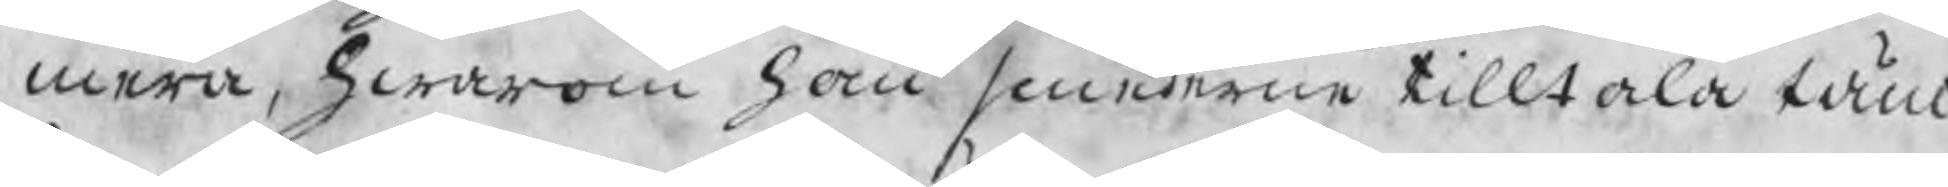mera; hwarom han smederne tilltala tän¬
